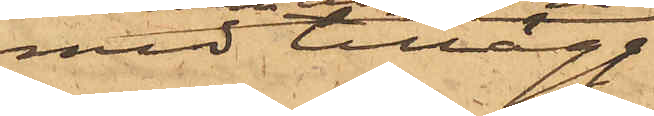med tillägg:
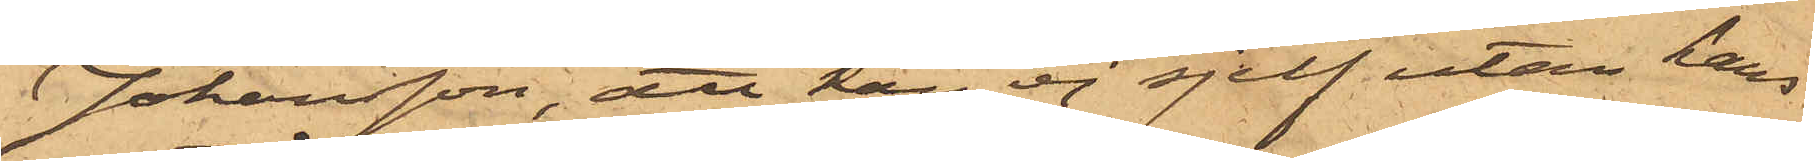Johansson, att han ej sjelf utan hans
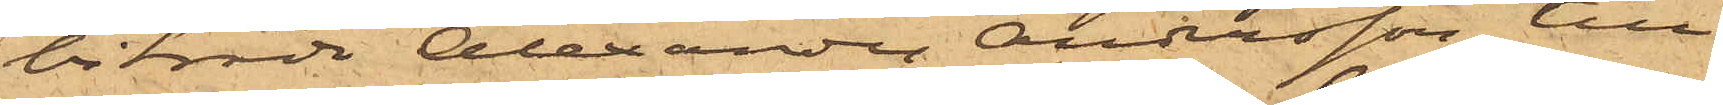biträde Alexander Andersson, till
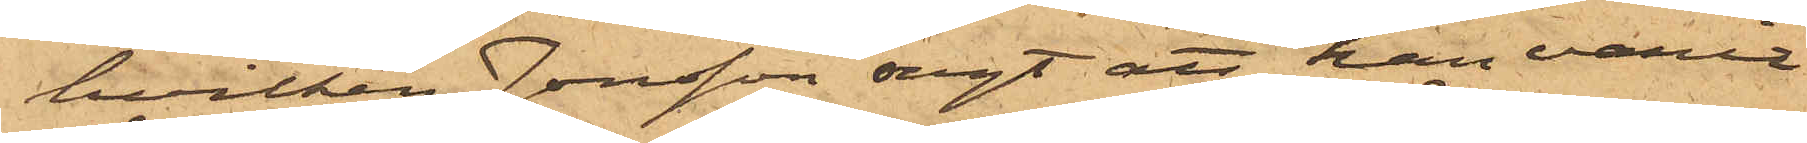hvilken Jonsson sagt att han varit
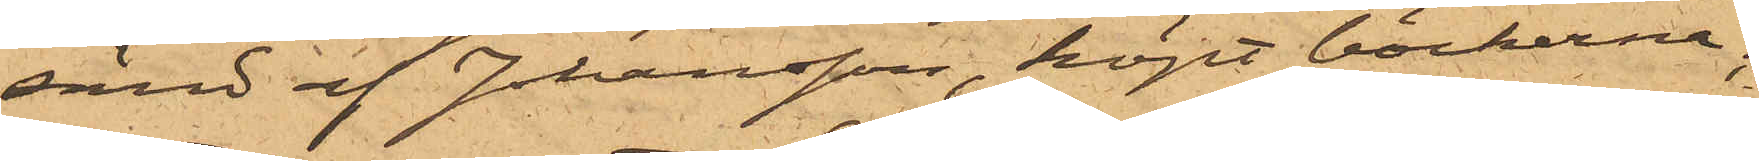känd af Johansson, köpt böckerna;
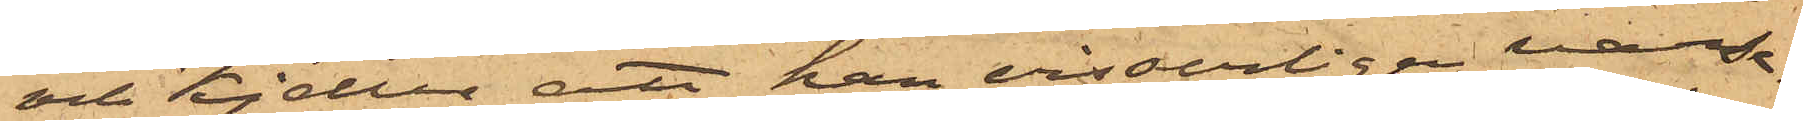och Kjeller, att han visserligen varse¬
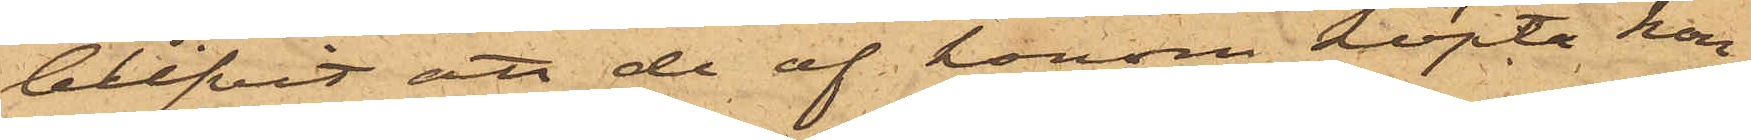blifvit att de af honom köpta kon¬
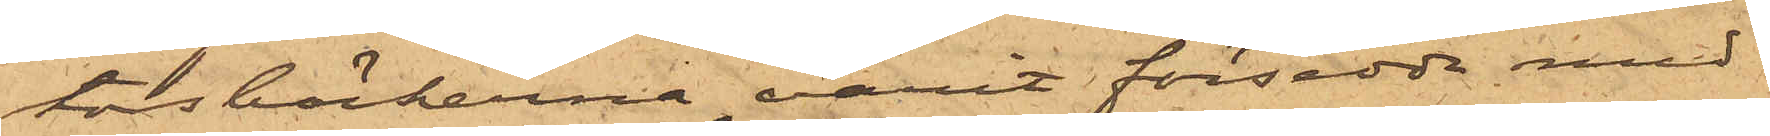torsböckerna varit försedda med
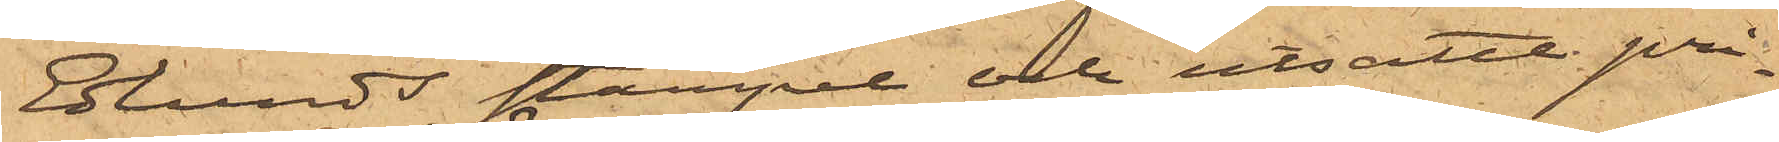Eklunds stämpel och utsatte pri¬
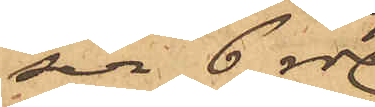sen 6 rdr
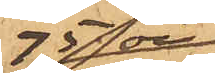75 öre
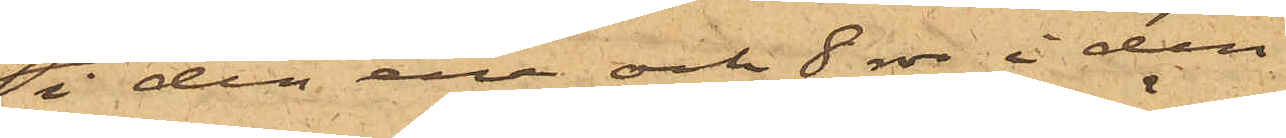i den ena och 8 rdr i den
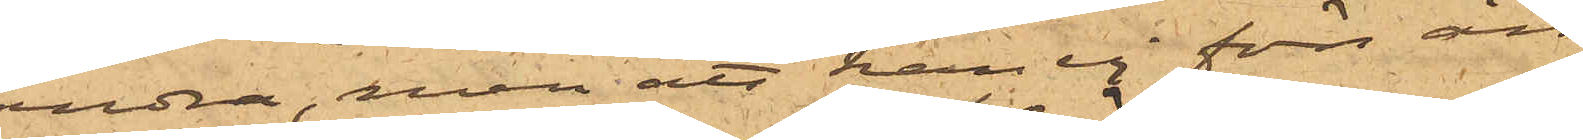andra, men att han ej förrän
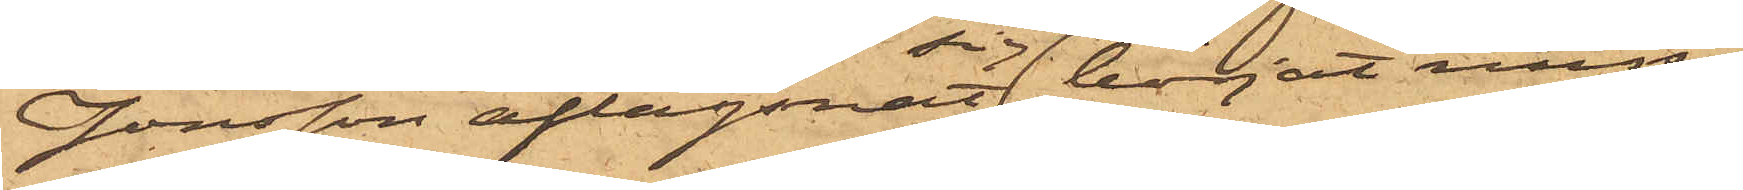Jonsson aflägsnat sig börjat miss¬
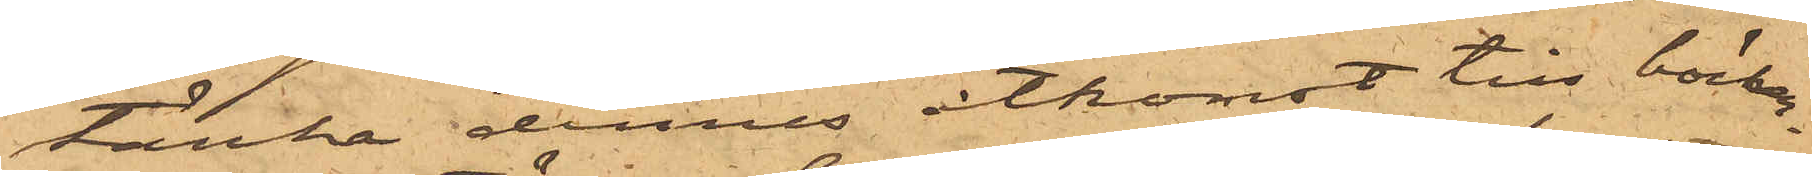tänka dennes åtkomst till böcker¬
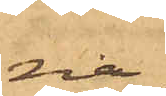na,
